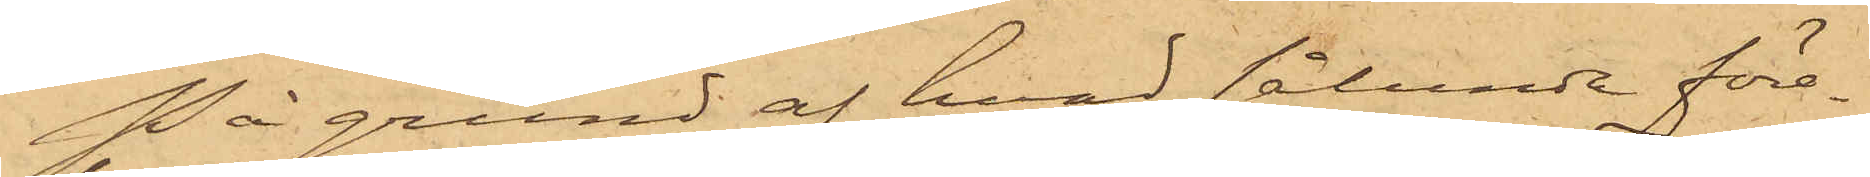På grund af hvad sålunda före¬
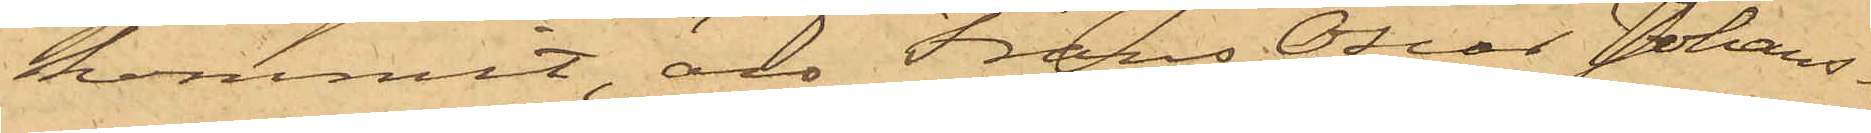kommit, äro Frans Oscar Johans¬
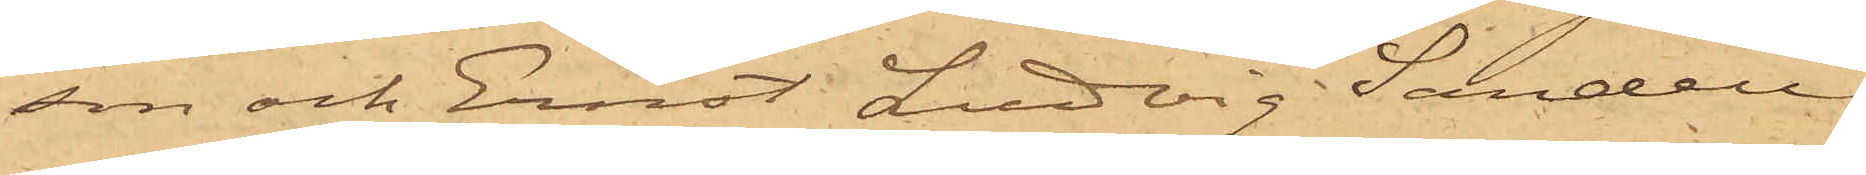son och Ernst Ludvig Sandell
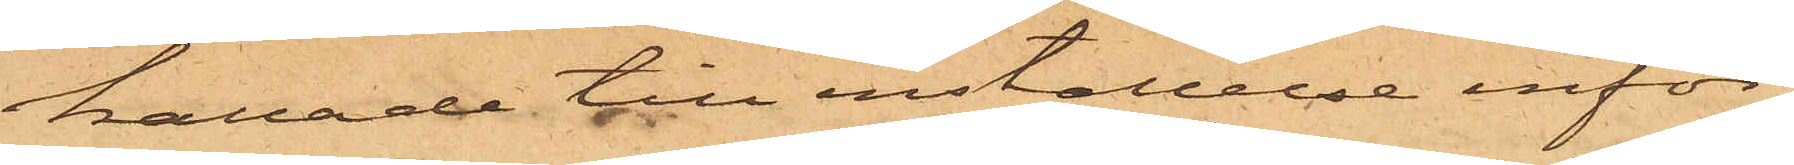kallade till inställelse inför
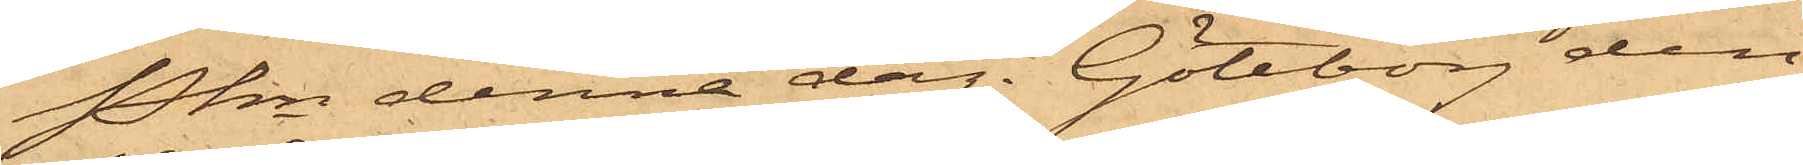Pkn denna dag. Göteborg den
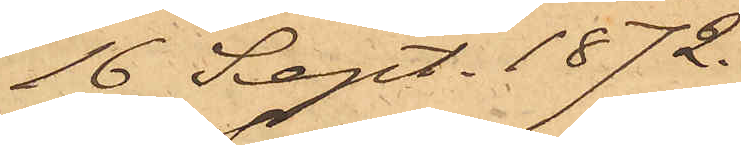16 Sept. 1872.
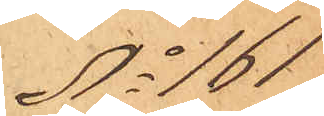No 161
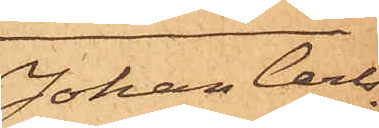Johan Carl¬
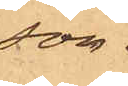son.
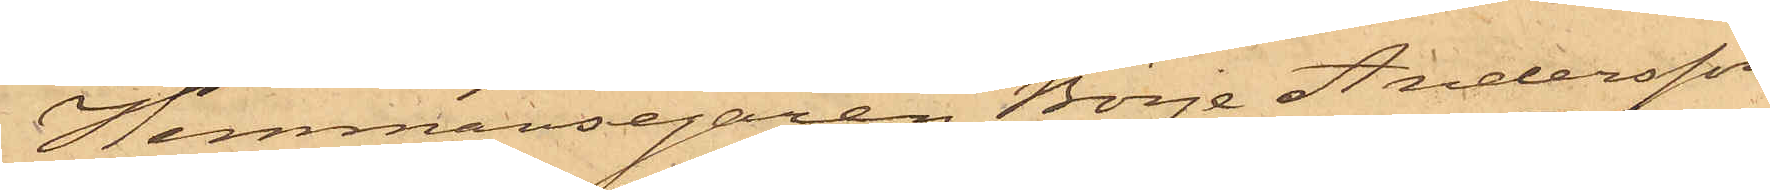Hemmansegaren Börje Andersson
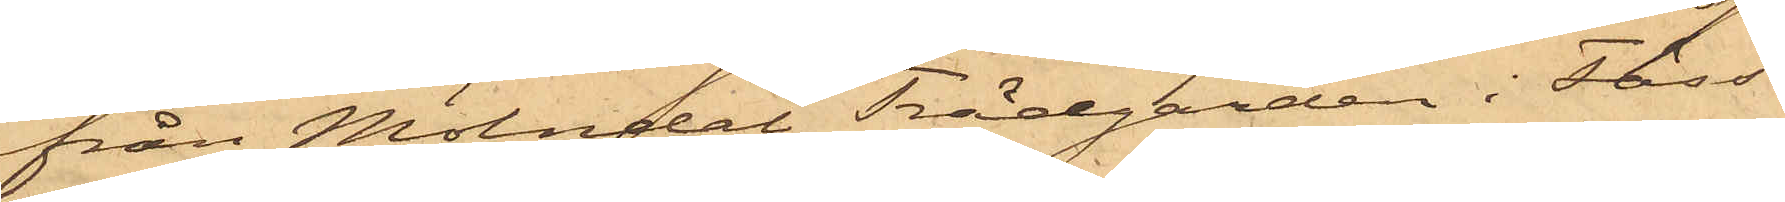från Mölndal Trädgården i Fäss¬
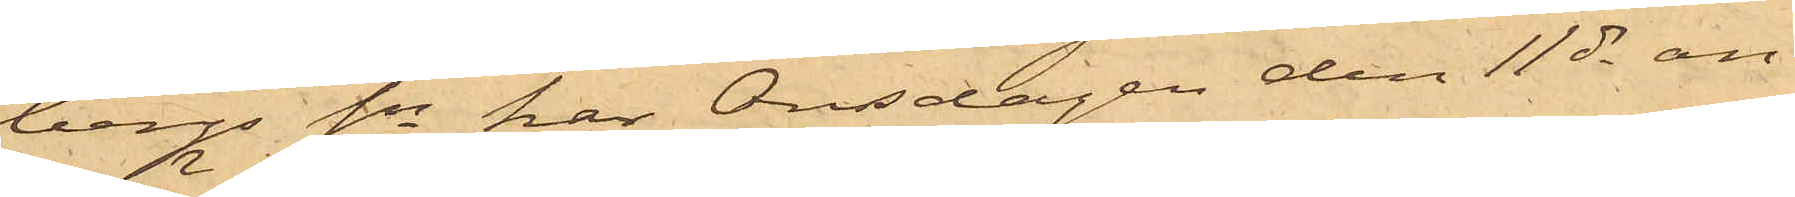bergs Sn har Onsdagen den 11 ds an¬
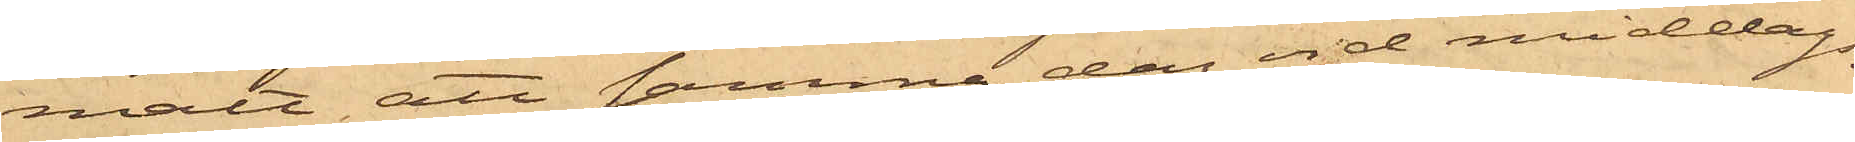mält att samma dag vid middags¬
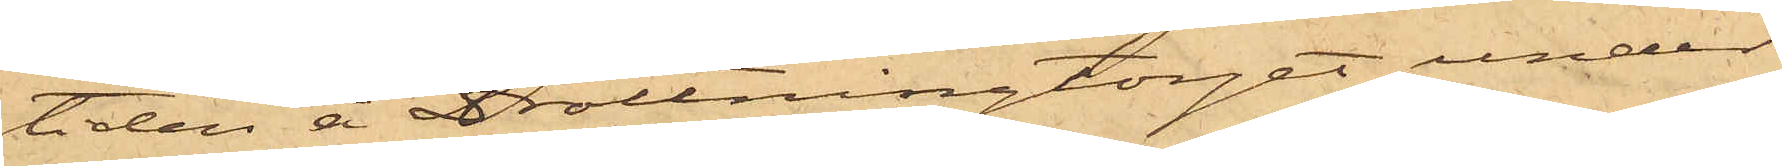tiden å Drottningtorget under
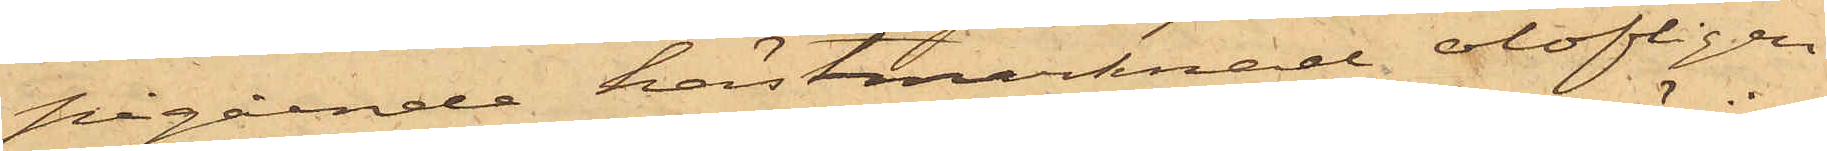pågående hästmarknad olofligen
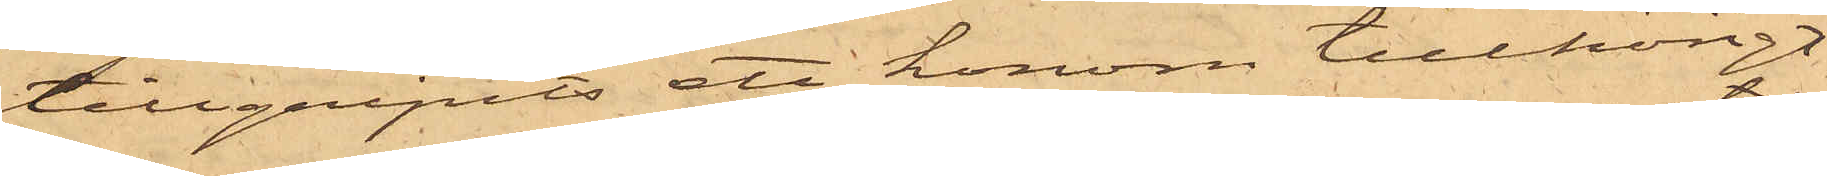tillgripits ett honom tillhörigt
